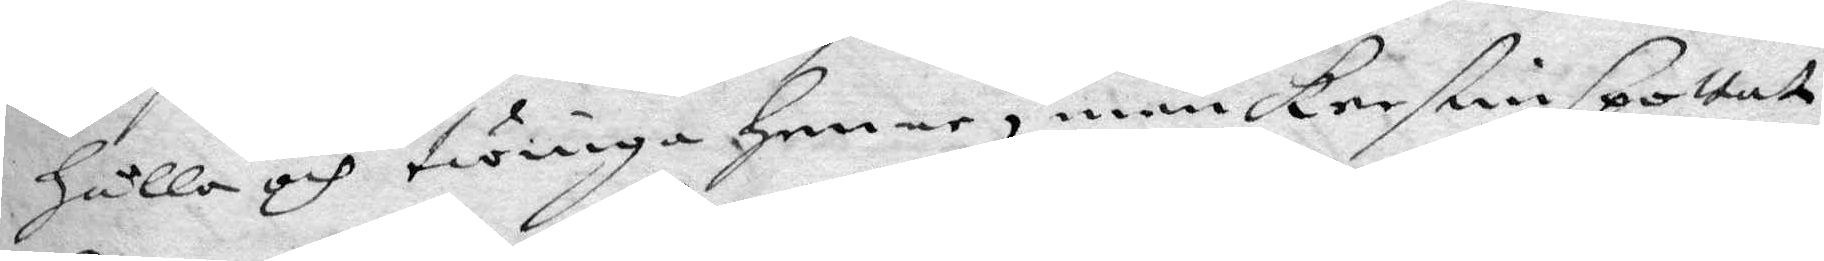hålla och twinga henne, men Kerstin spottat
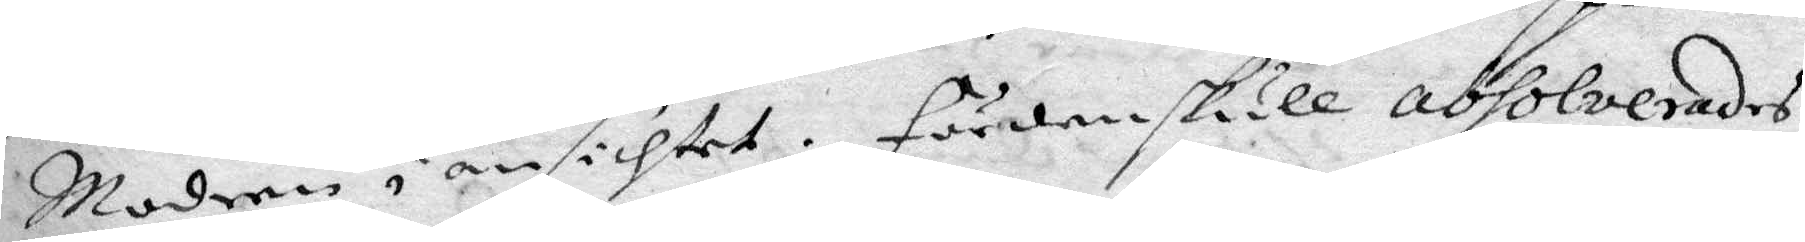Modren i ansichtet. Fördenskull absolverades
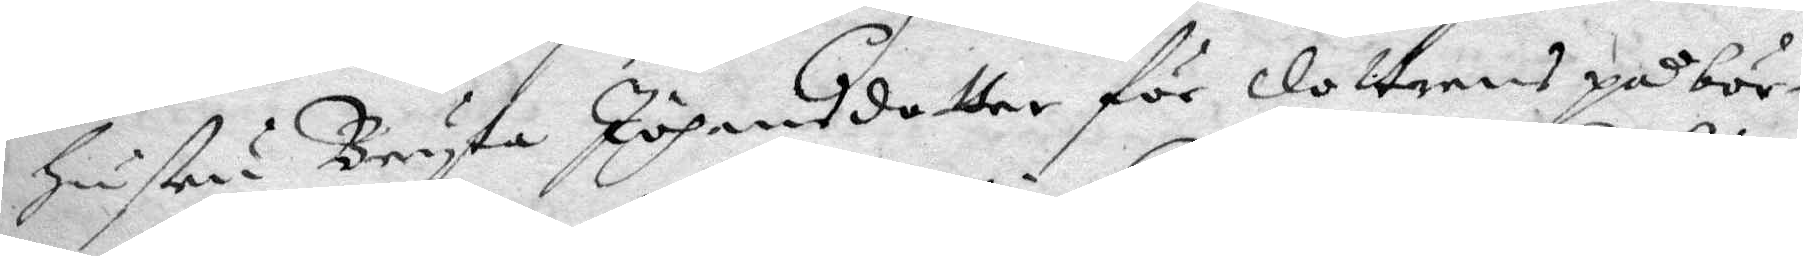hustru Bryta Johansdotter för dottrens påbör¬
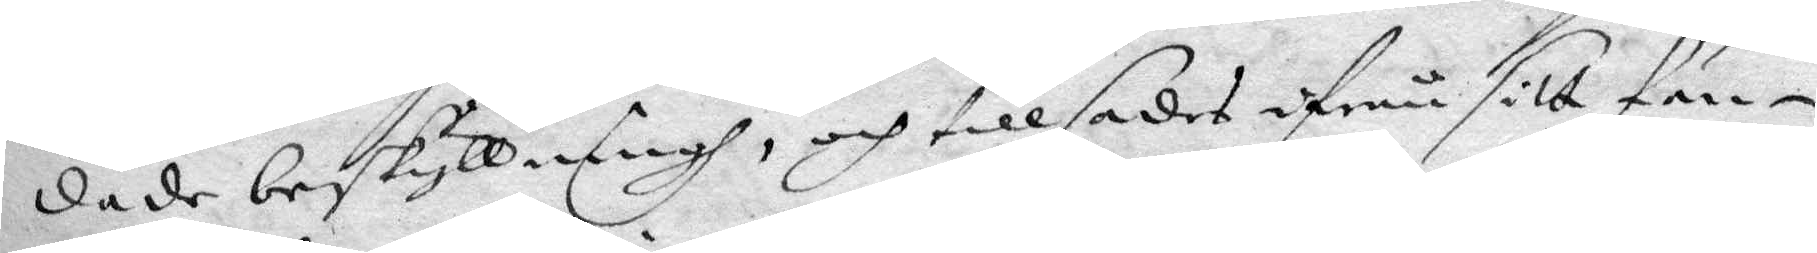dade beskyllningh, och tillsades ifrån sitt fän¬
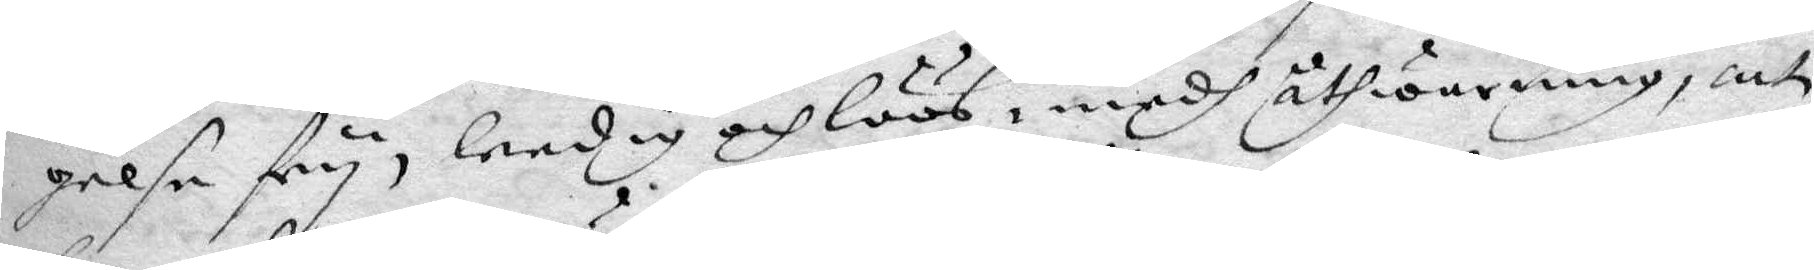gelse fry, leedig och löös, medh åthwarning, att
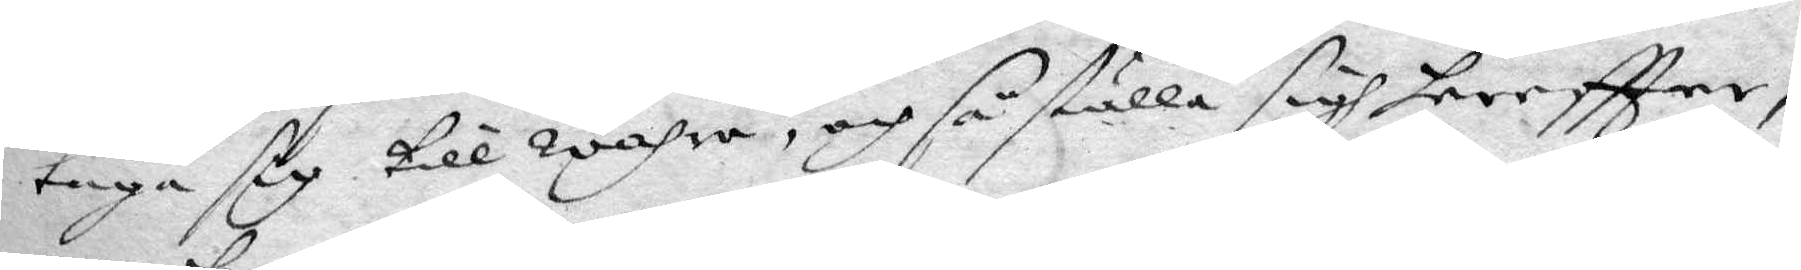taga sig till wahra, och så ställa sig tereftter,
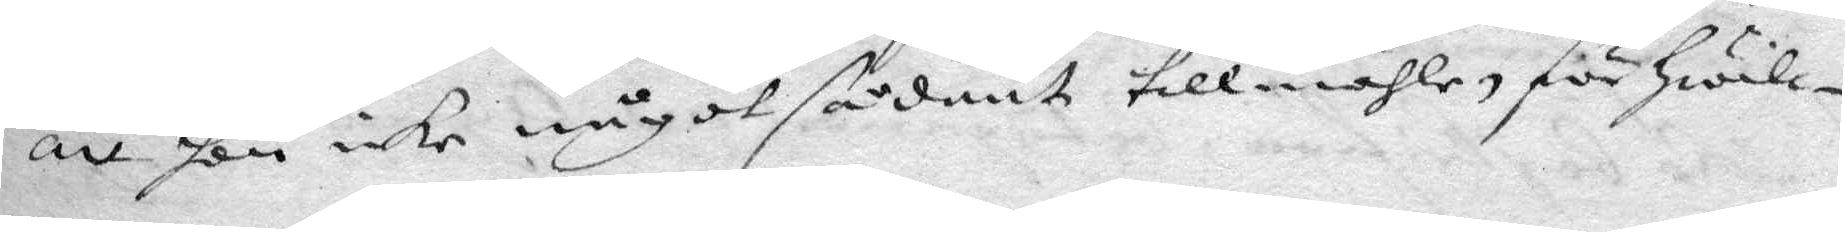att hon icke något sådant tillmähle för hwilc¬
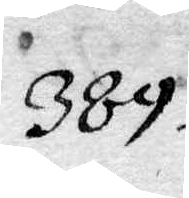389.
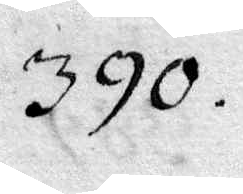390.
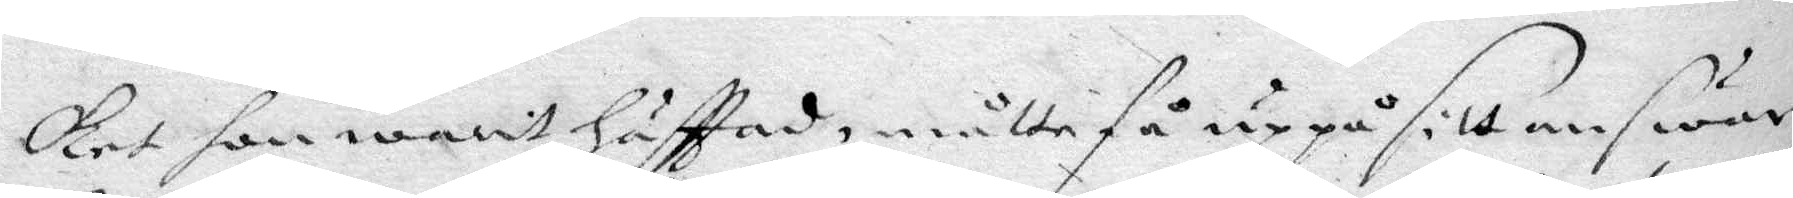ket hon warit häfttad, måtte få uppå sitt answar,
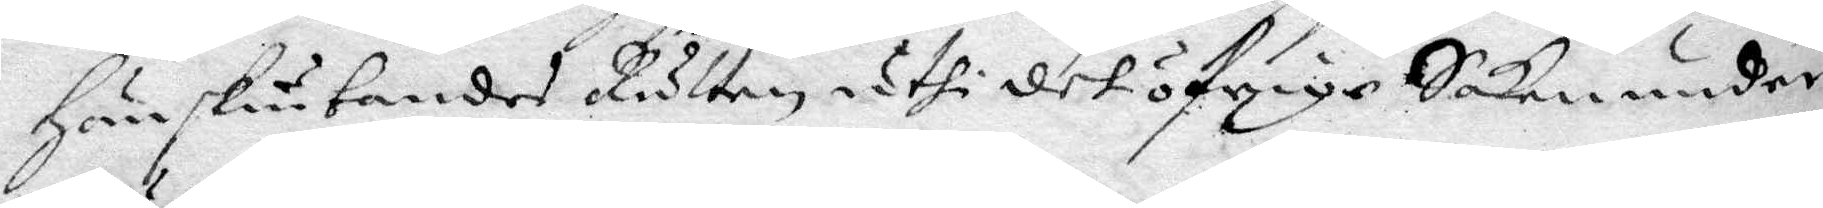hänskiutandes Rätten, uthi det öfrige Saken under
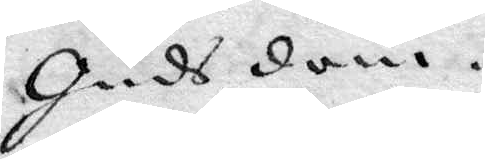Guds dom.
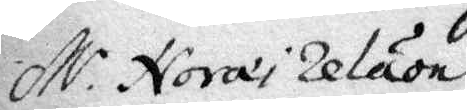M.r Noræi relaon
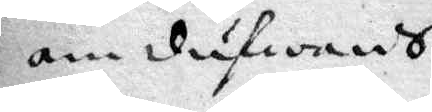om diufwans-
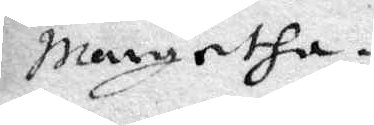Margetha.
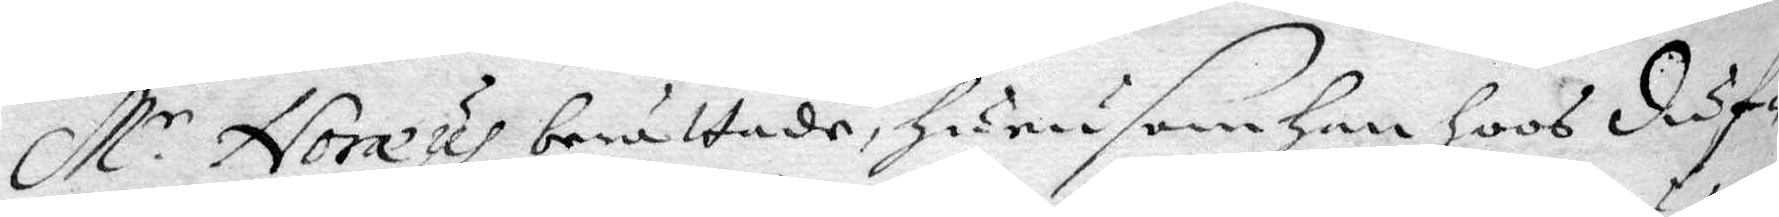M.r Noræus berättade, hurusom han hoos diuf¬
